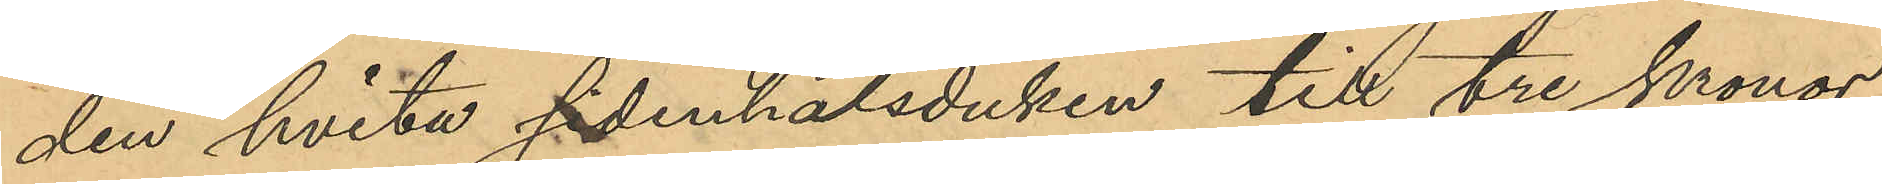den hvita sidenhalsduken till tre kronor
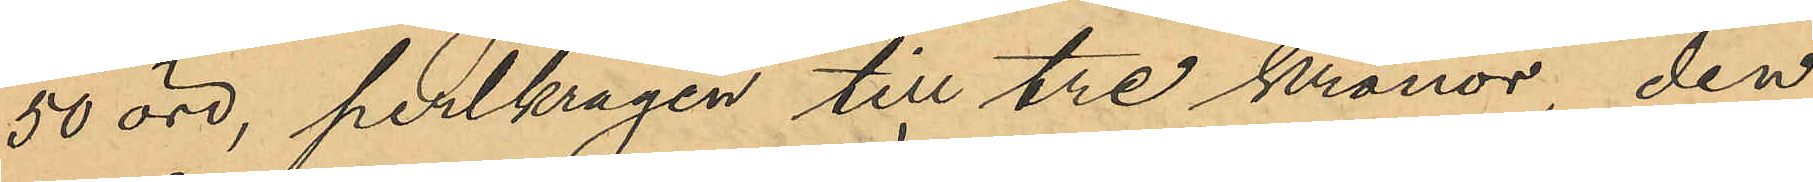50 öre, perlkragen till tre kronor, den
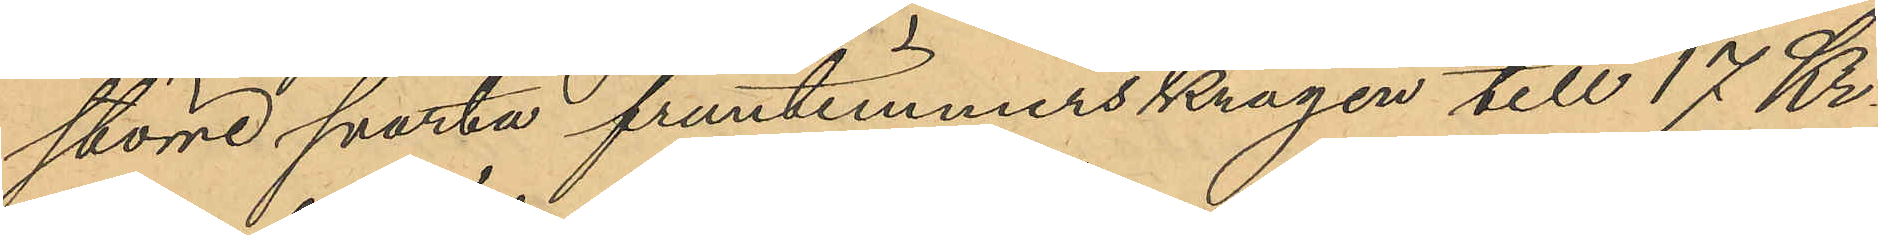större svarta fruntimmerskragen till 17 Kr
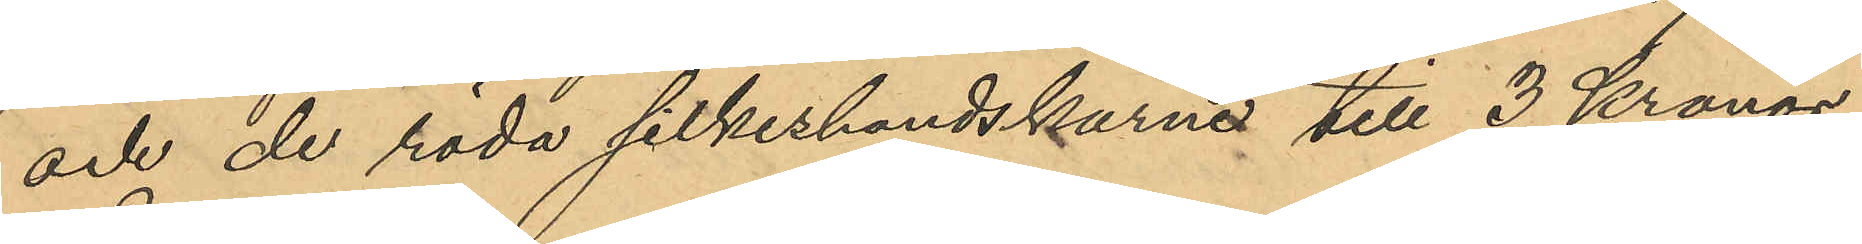och de röda silkeshandskarne till 3 Kronor
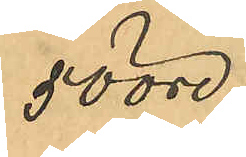50 öre,
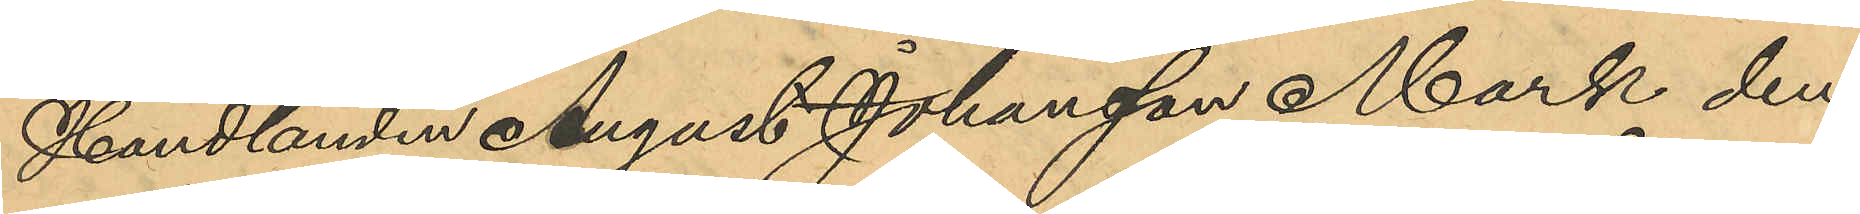Handlanden August Johansson Mark den
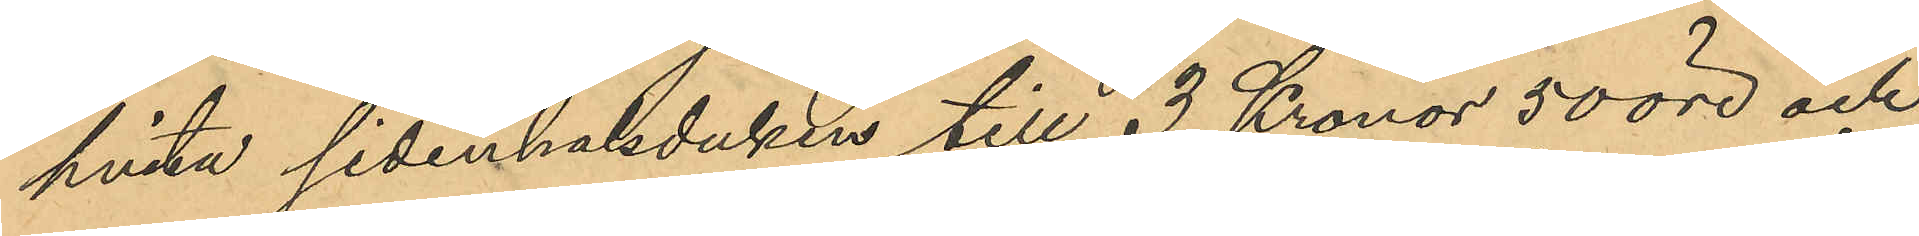hvita sidenhalsduken till 3 Kronor 50 öre och
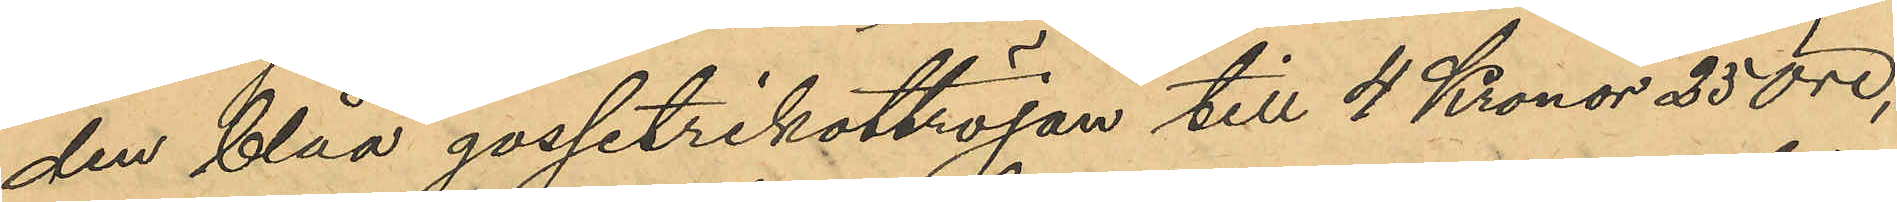den blåa gossetrikottröjan till 4 Kronor 25 öre,
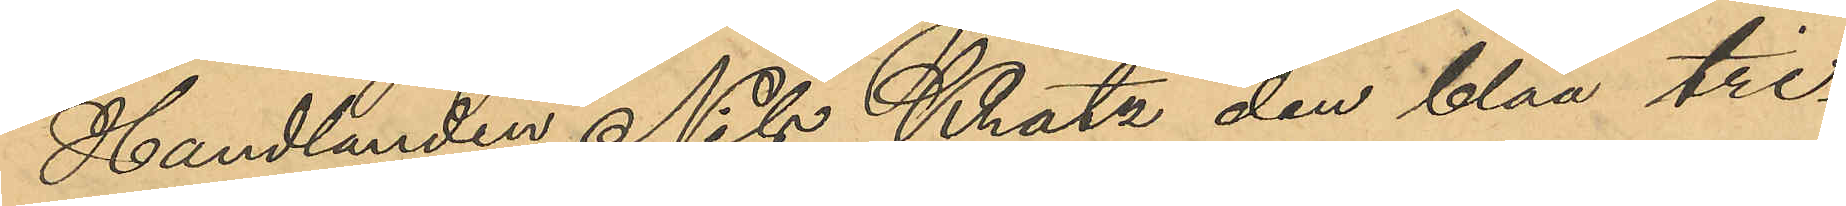Handlanden Nils Kratz den blåa tri¬
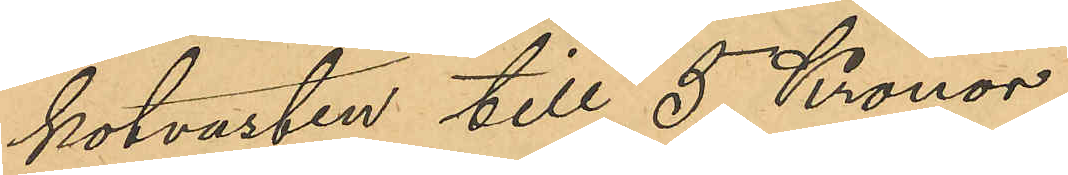kotvästen till 5 Kronor,
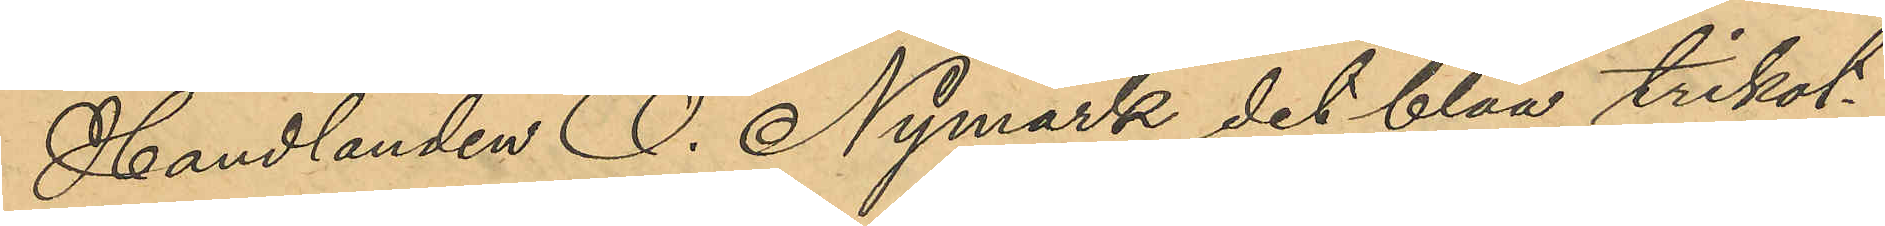Handlanden O. Nymark det blåa trikot¬
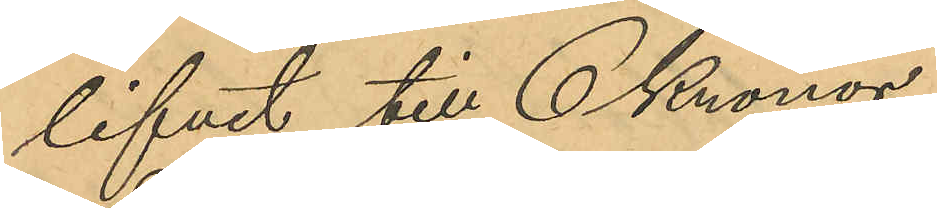lifvet till 6 Kronor,
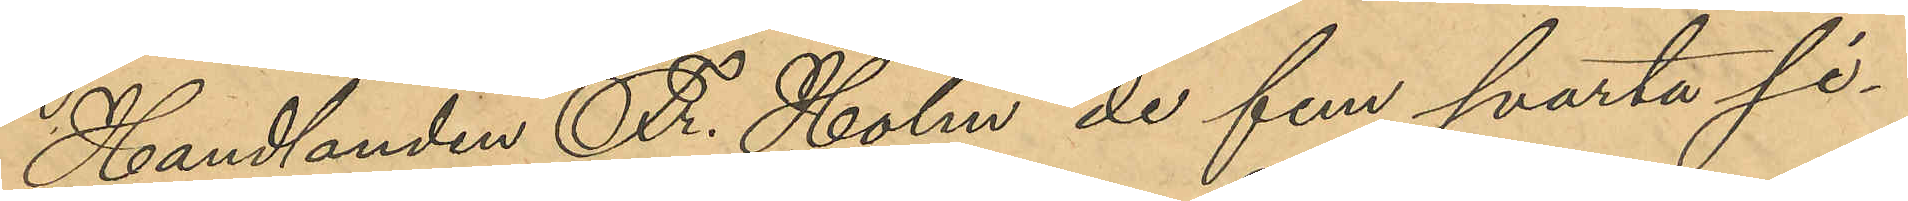Handlanden Fr. Holm de fem svarta si¬
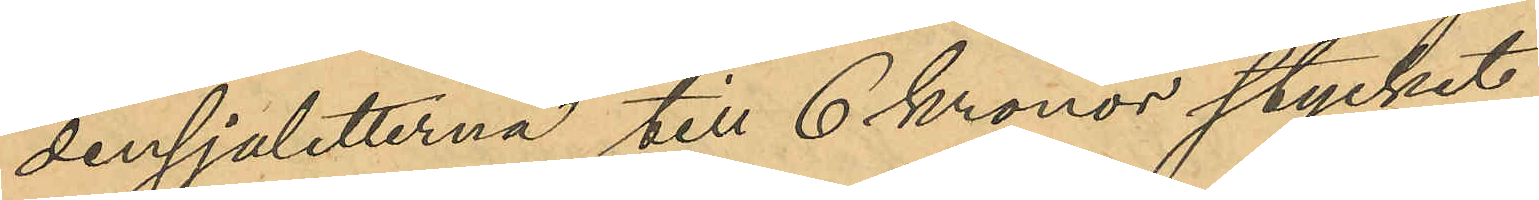densjaletterna till 6 kronor stycket,
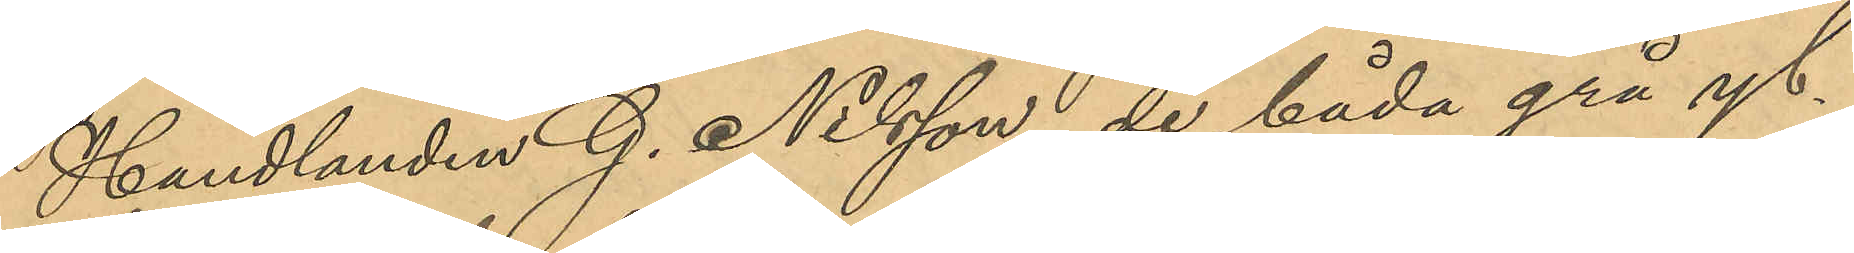Handlanden G. Nilsson de båda grå yl¬
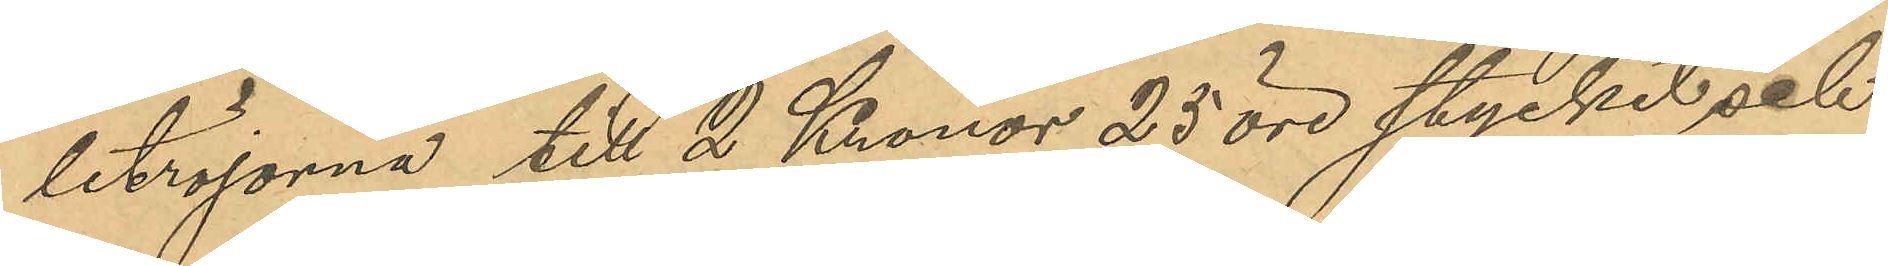letröjorna till 2 Kronor 25 öre stycket och
